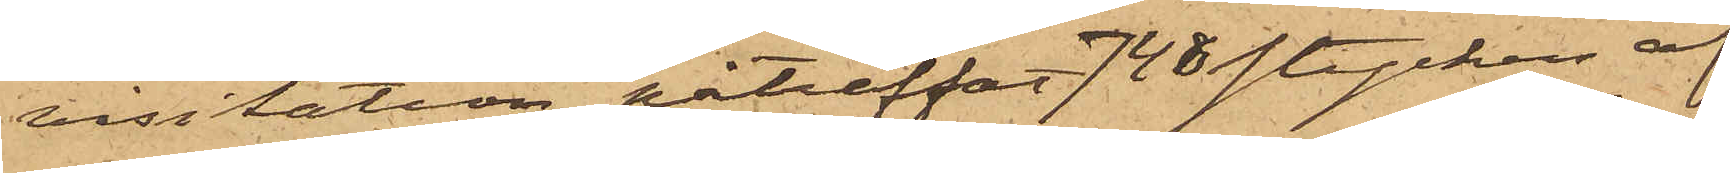visitation påträffat 748 stycken af
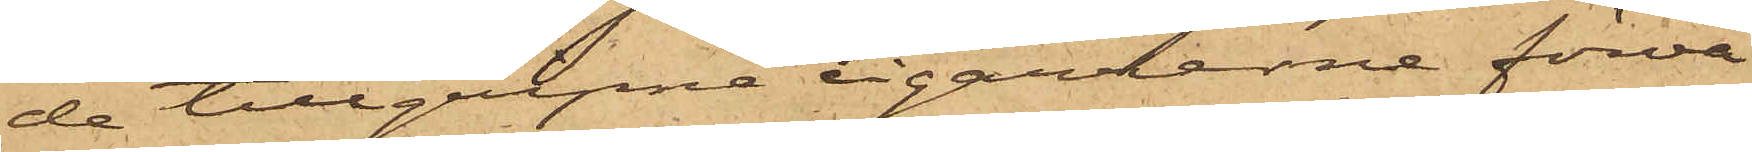de tillgripne cigarrerne förva¬
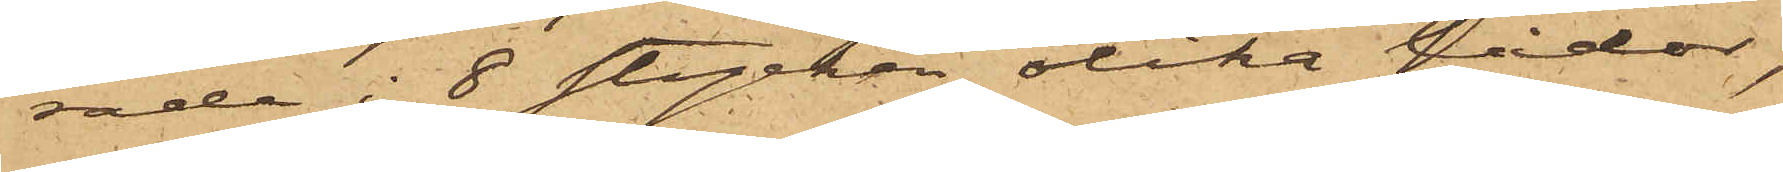rade i 8 stycken olika lådor;
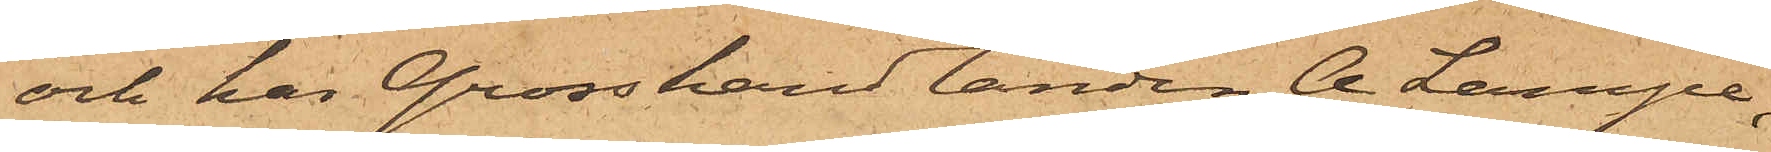och har Grosshandlanden A. Lampe,
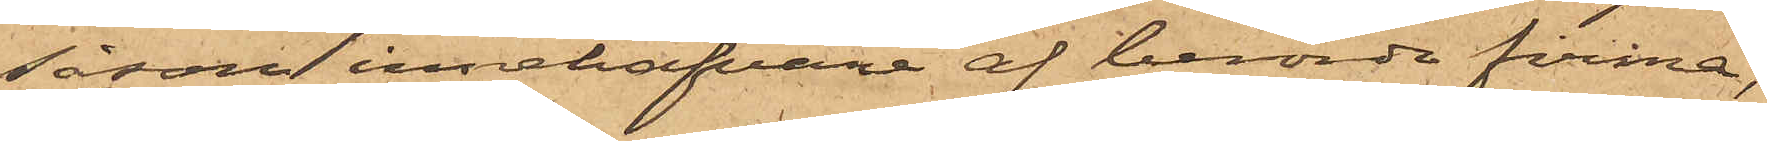såsom innehafvare af berörde firma
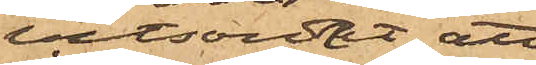vitsordat att
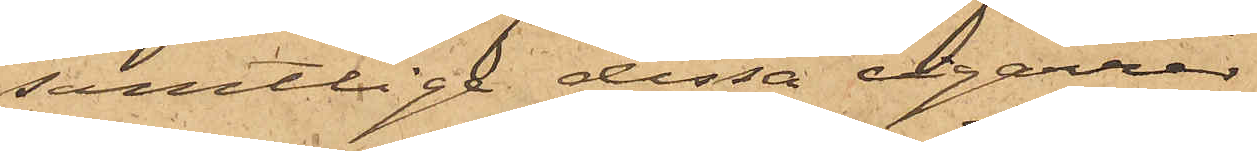samtlige dessa cigarrer
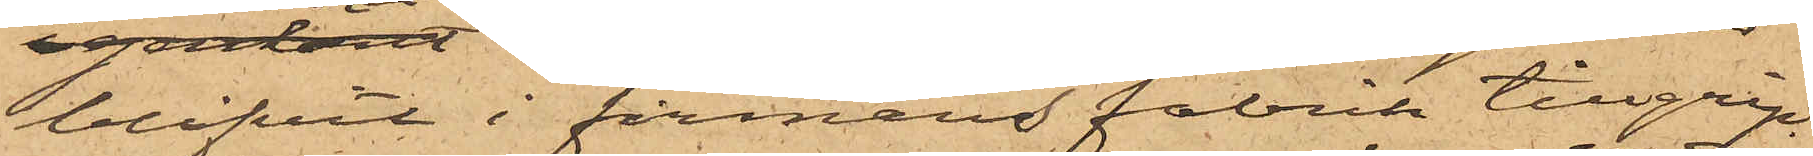blifvit i firmans fabrik tillgrip¬
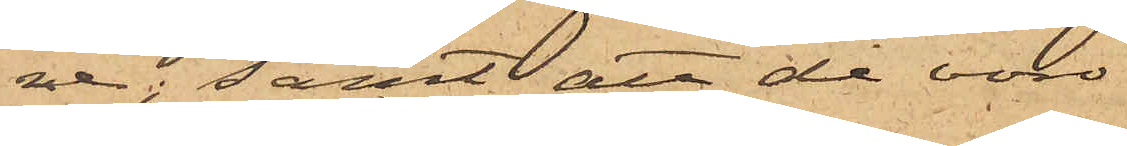ne; samt att de voro
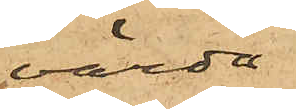värda
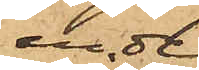en del
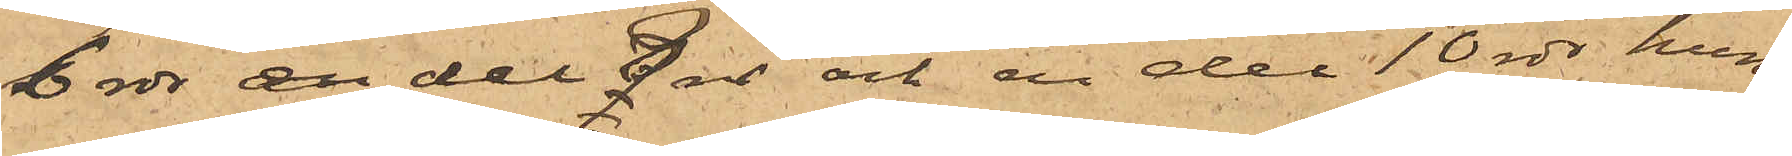6 rdr, en del 8 rdr och en del 10 rdr hun¬
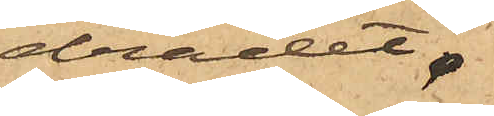dradet.
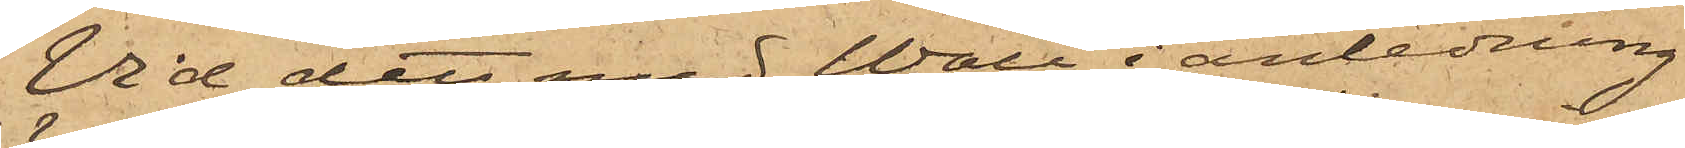Vid det med Wall i anledning
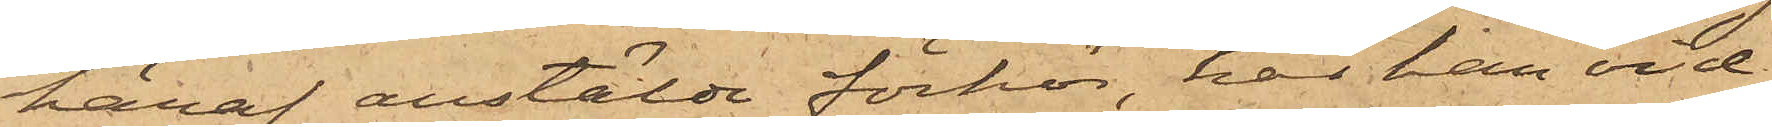häraf anstälde förhör, har han vid¬
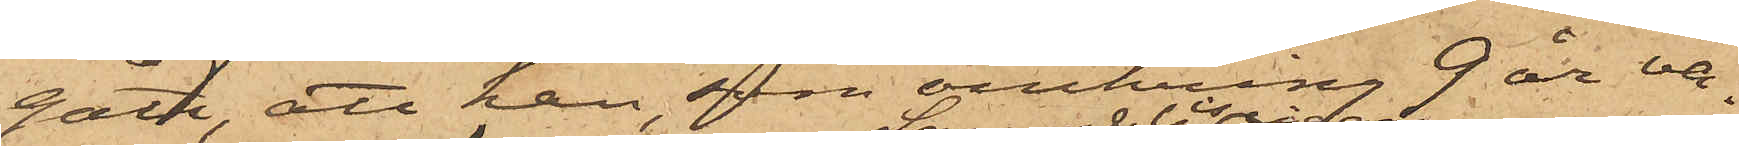gått, att han, som omkring 9 år va¬
